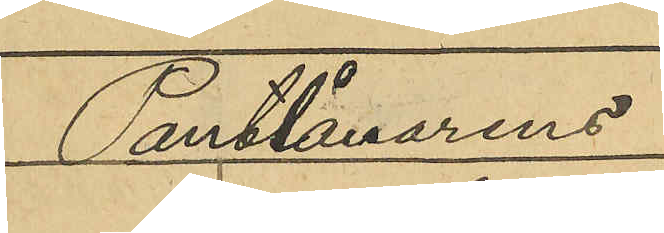Pantlånaren
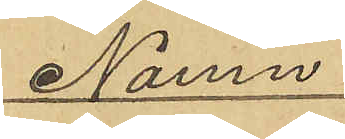Namn
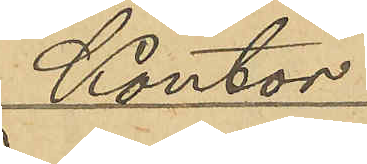Kontor
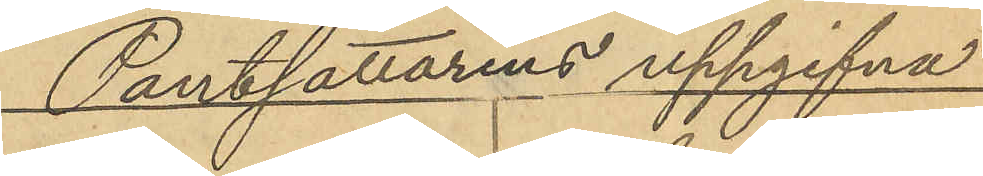Pantsättarens uppgifna
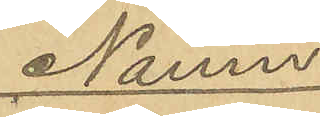Namn
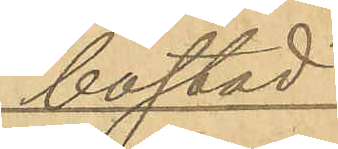bostad
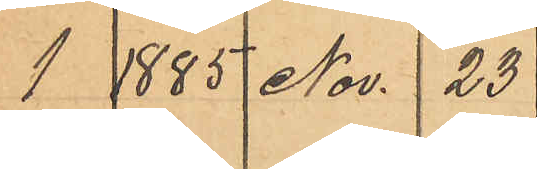1 1885 Nov. 23
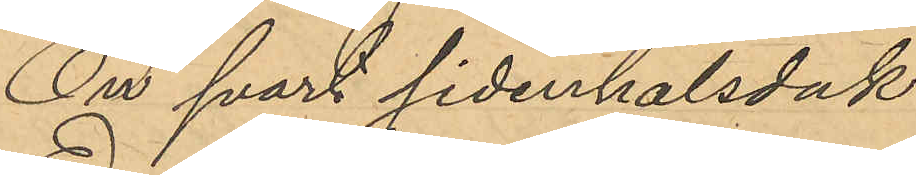En svart sidenhalsduk
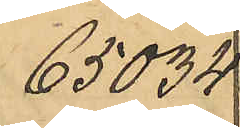65034
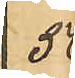50
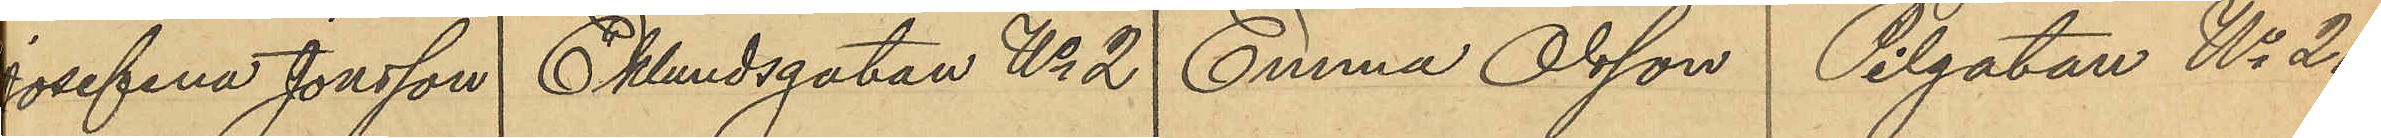Josefina Jonsson Eklundsgatan No 2 Emma Olsson Pilgatan No 21.
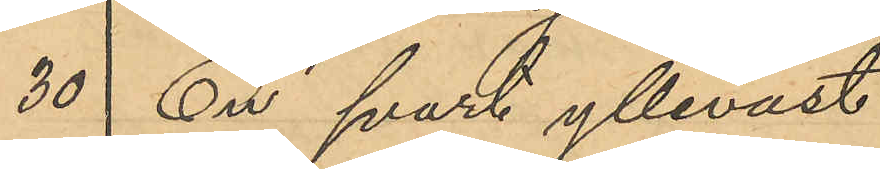30 En svart ylleväst
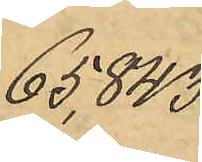65843
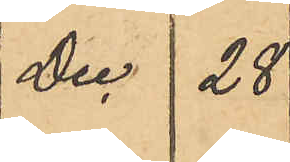Dec 28
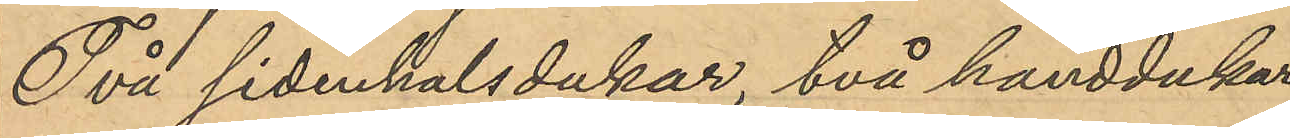Två sidenhalsdukar, två handdukar
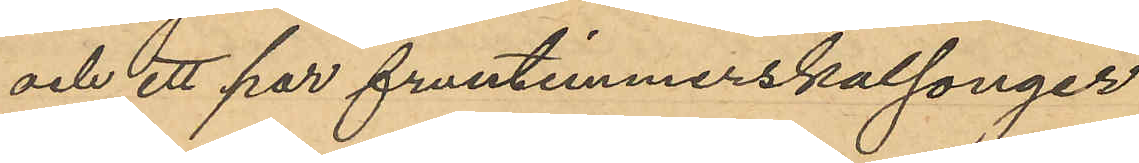och ett par fruntimmerskalsonger
